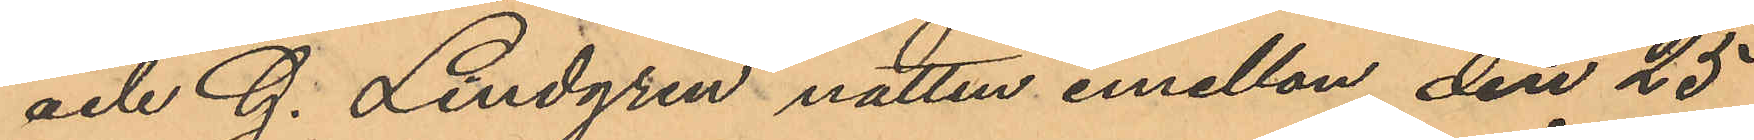och G. Lindgren natten emellan den 25
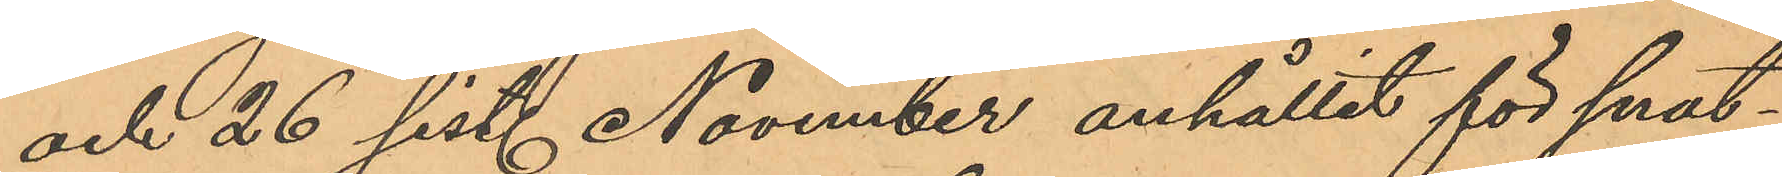och 26 sist. November anhållit för snat¬
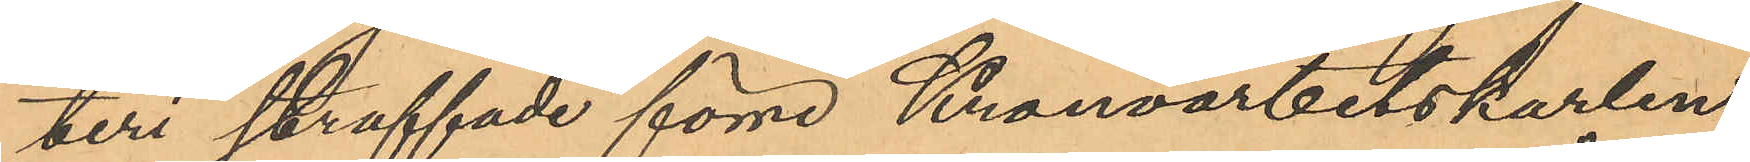teri straffade förre Kronoarbetskarlen
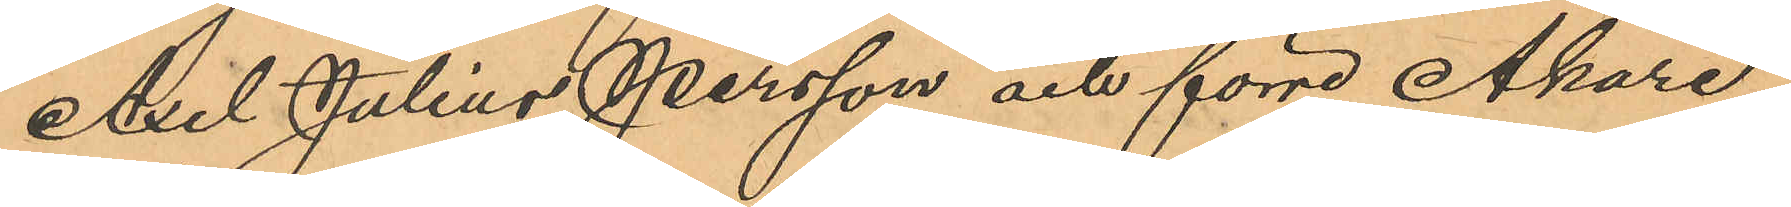Axel Julius Persson och förre Åkare¬
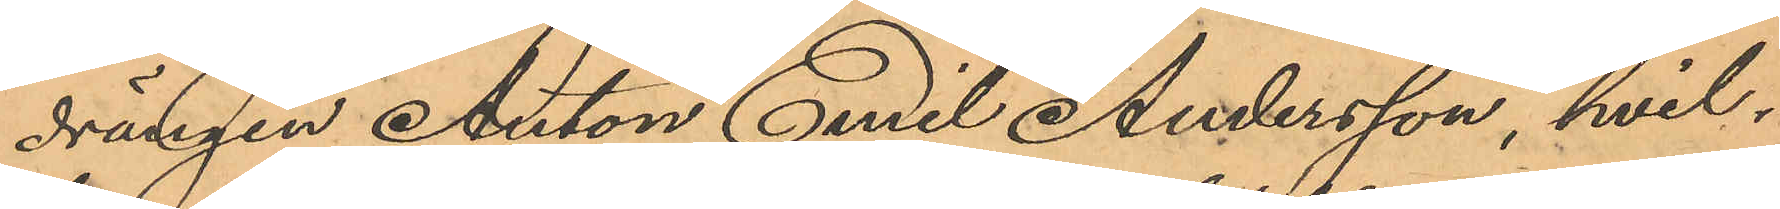drängen Anton Emil Andersson, hvil¬
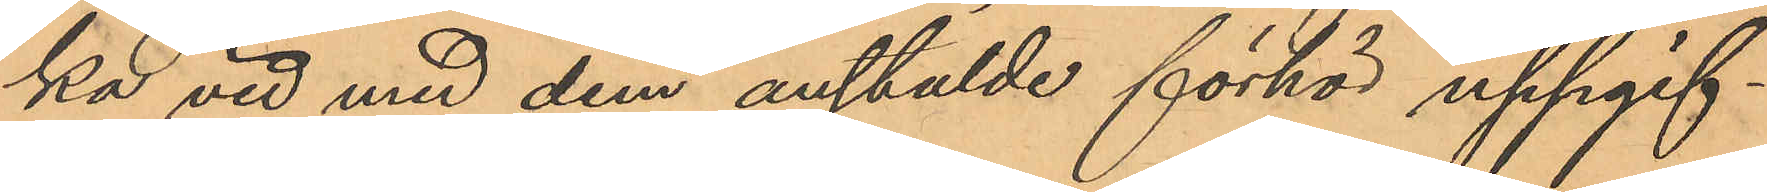ka vid med dem anstälde förhör uppgif¬
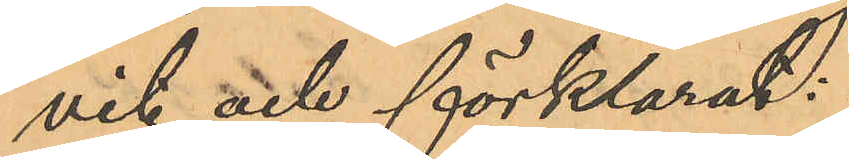vit och förklarat:
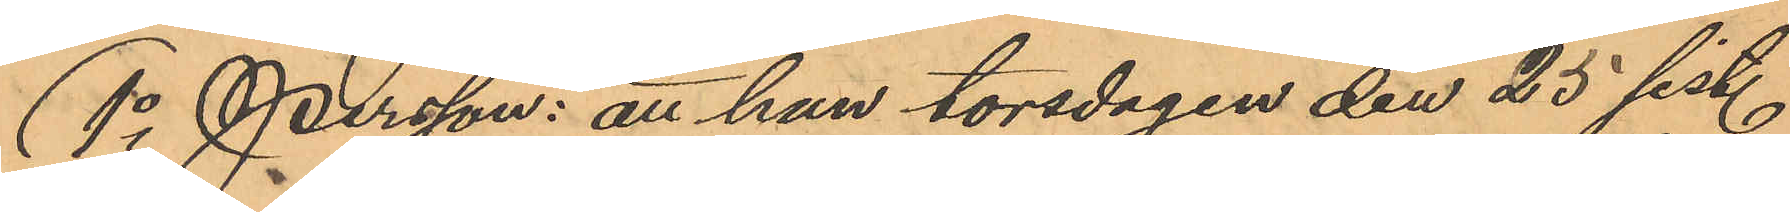1o Persson: att han torsdagen den 25 sist.
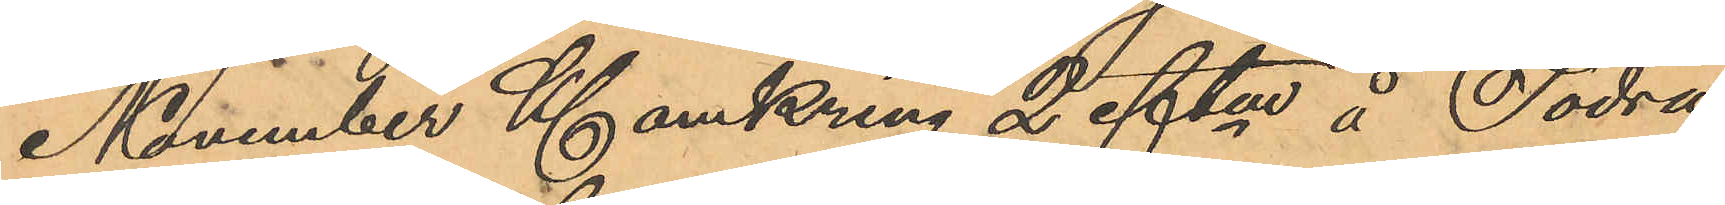November Kl. omkring 2 eftm å Södra
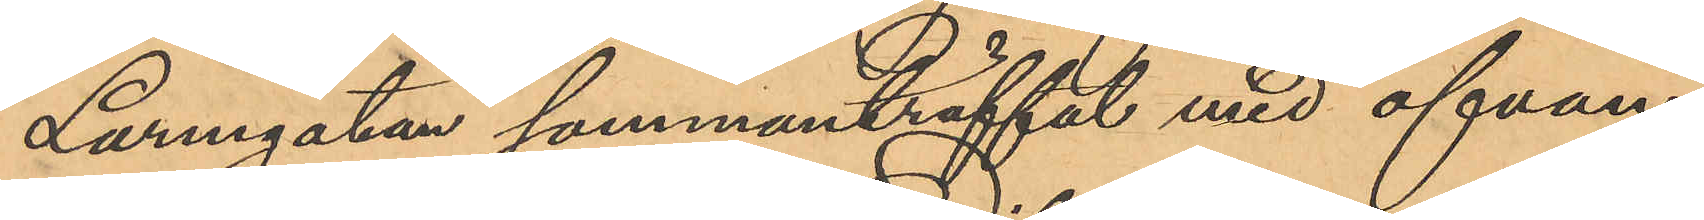Larmgatan sammanträffat med ofvan¬
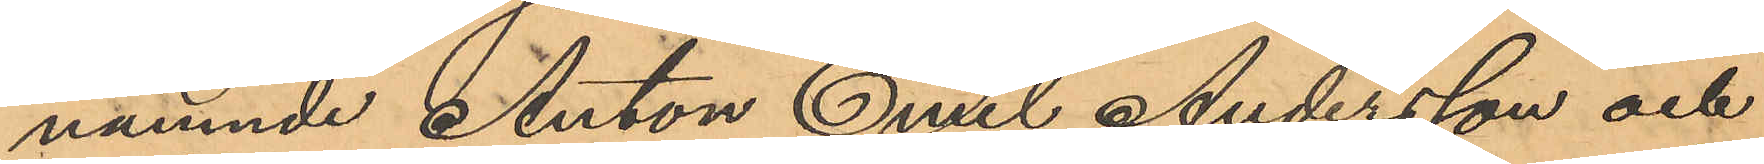nämnde Anton Emil Andersson och
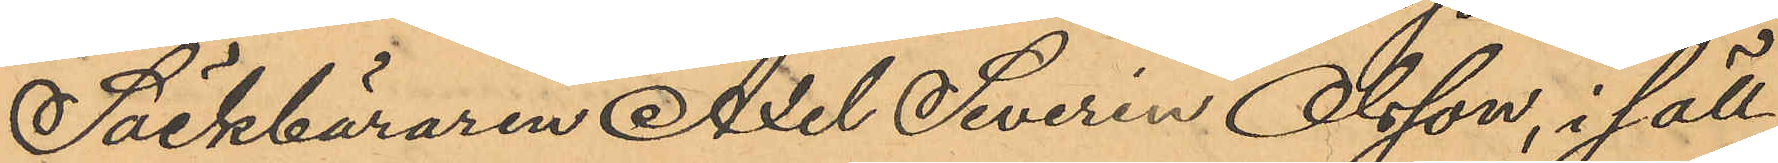Säckbäraren Axel Severin Olsson, i säll¬
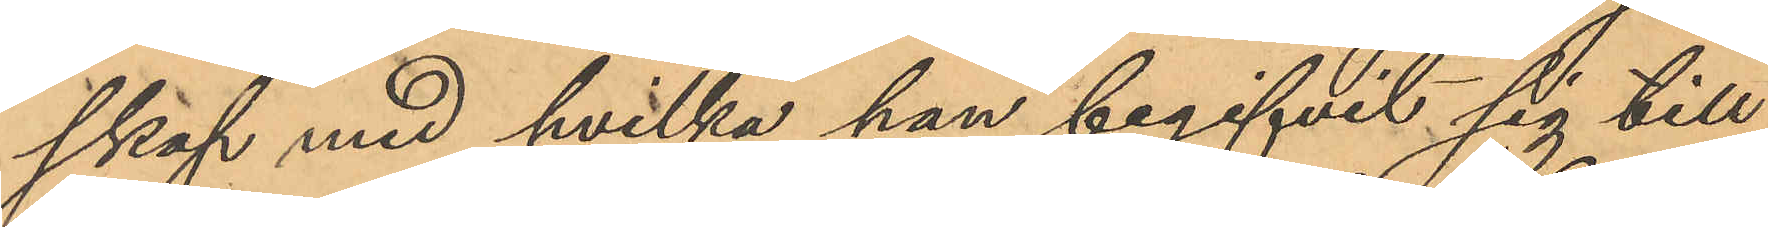skap med hvilka han begifvit sig till
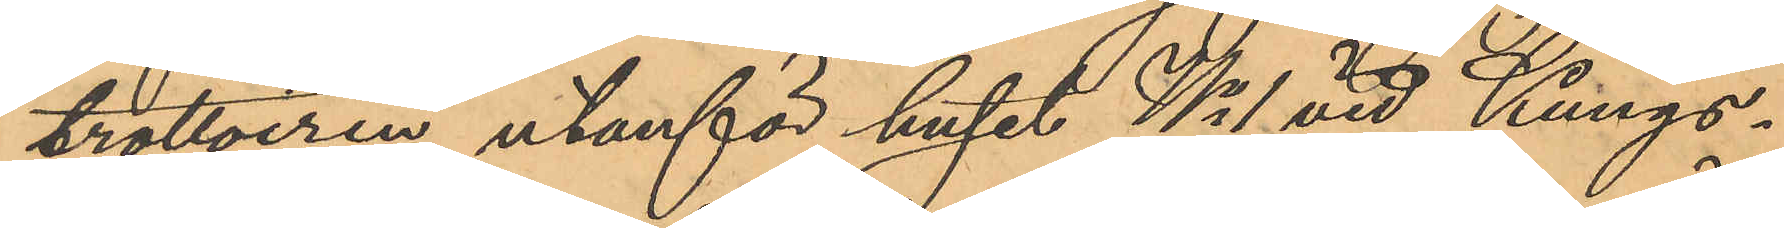trottoiren utanför huset No 1 vid Kungs¬
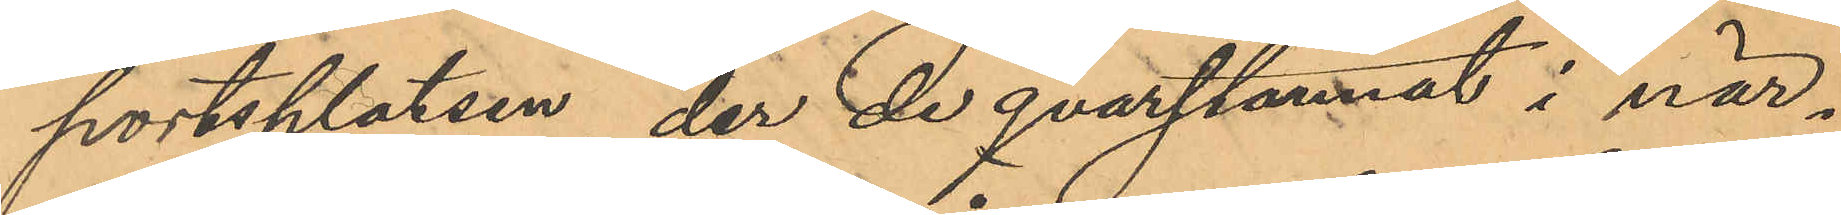portsplatsen, der de qvarstannat i när¬
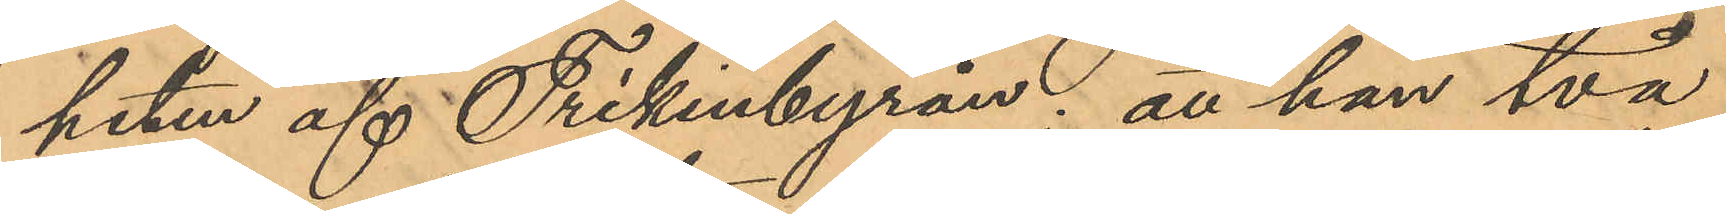heten af Frikinbyrån; att han två
